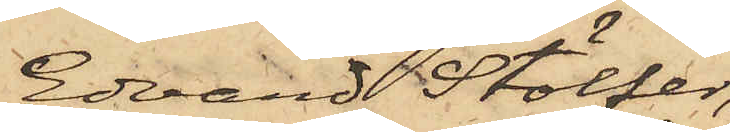Edvard Stölfer,
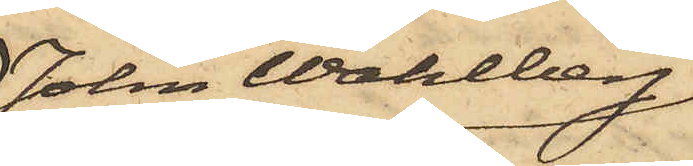John Wahlberg,
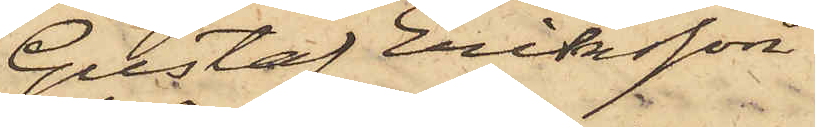Gustaf Eriksson
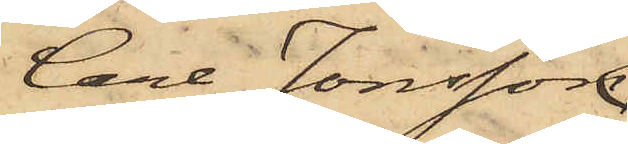Carl Jonsson
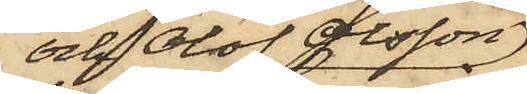och Olof Olsson,
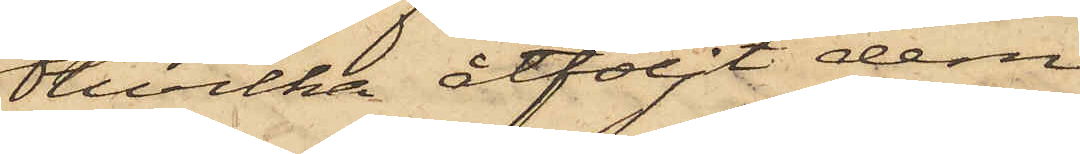hvilka åtföljt dem
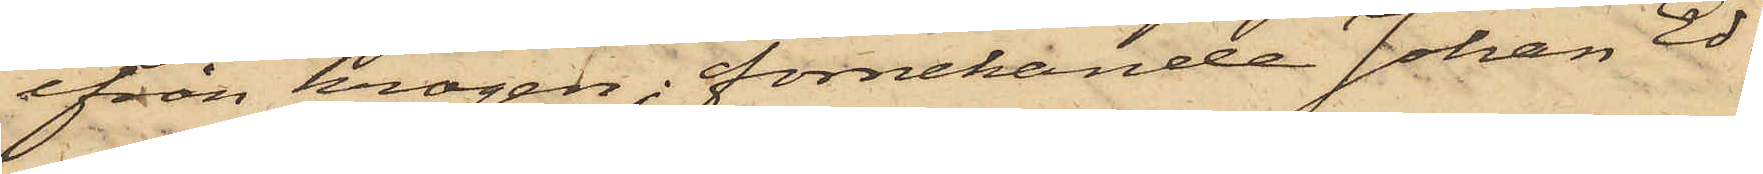ifrån krogen, förnekande Johan Ed¬
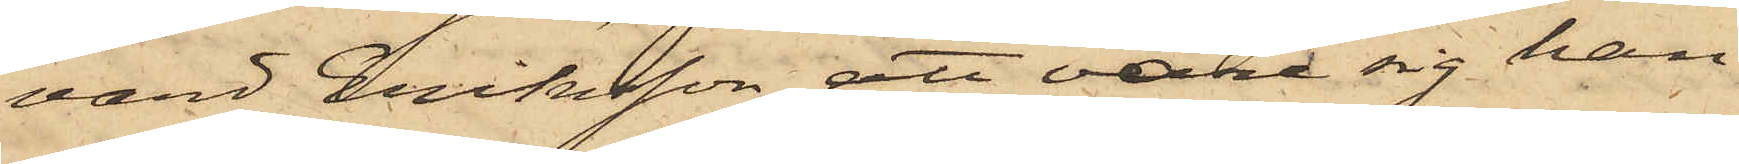vard Eriksson att vare sig han
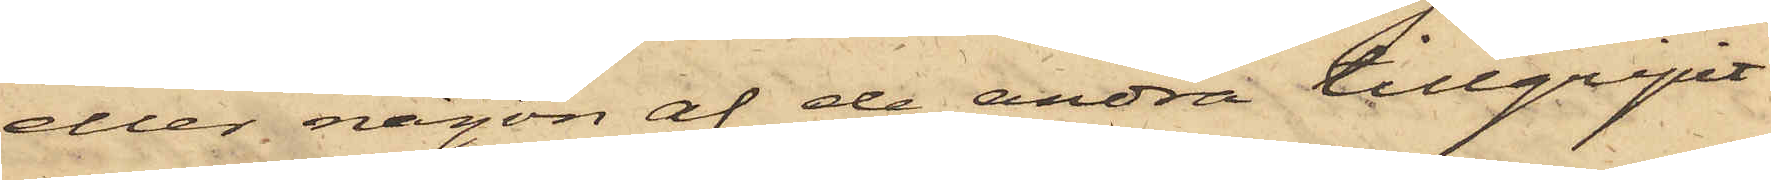eller någon af de andra tillgripit
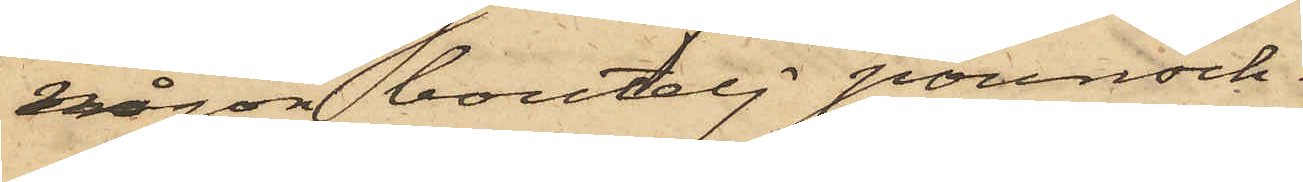någon boutelj pounsch.
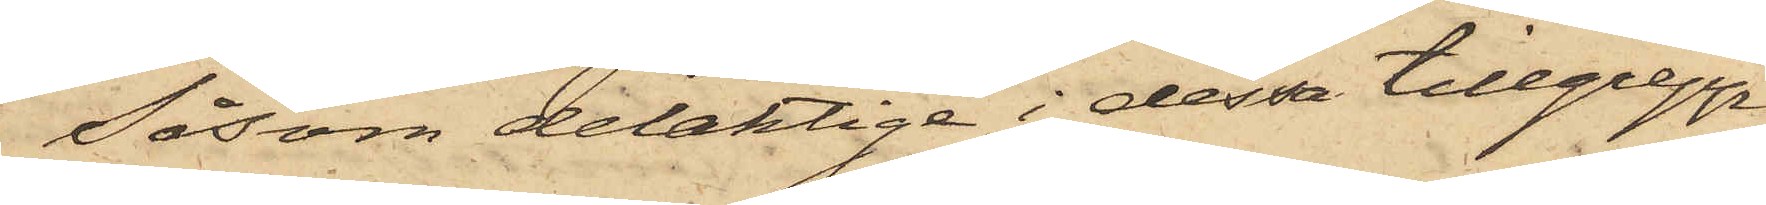Såsom delaktige i dessa tillgrepp
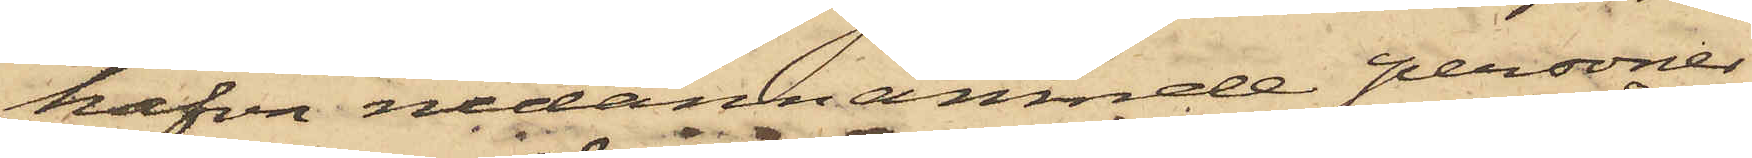hafva nedannämnde personer
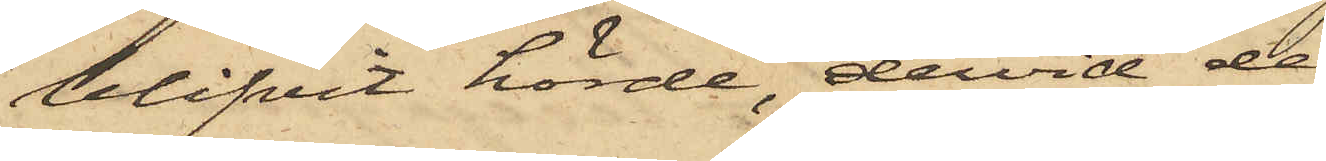blifvit hörde, dervid de
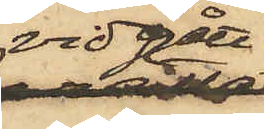vidgått:
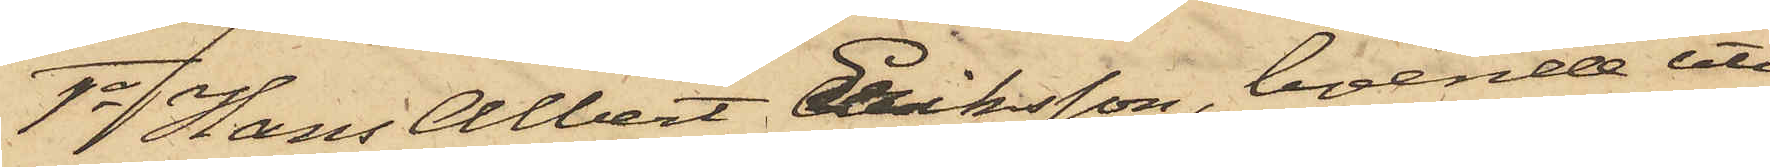1o Hans Albert Eriksson, boende uti
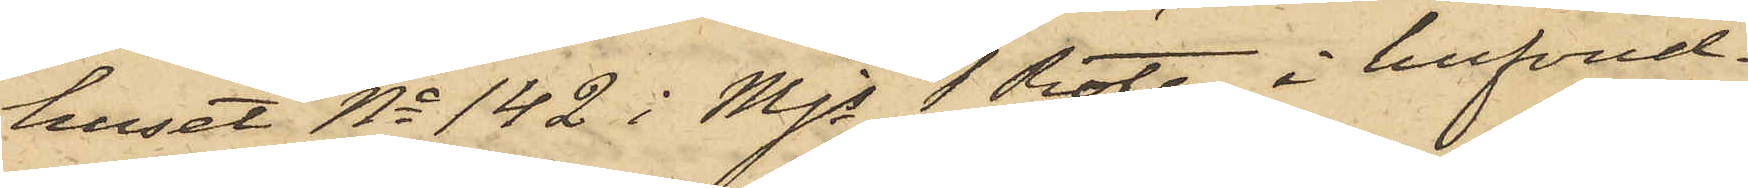huset No 142 i Mjs 1 Rote, i hufvud¬
